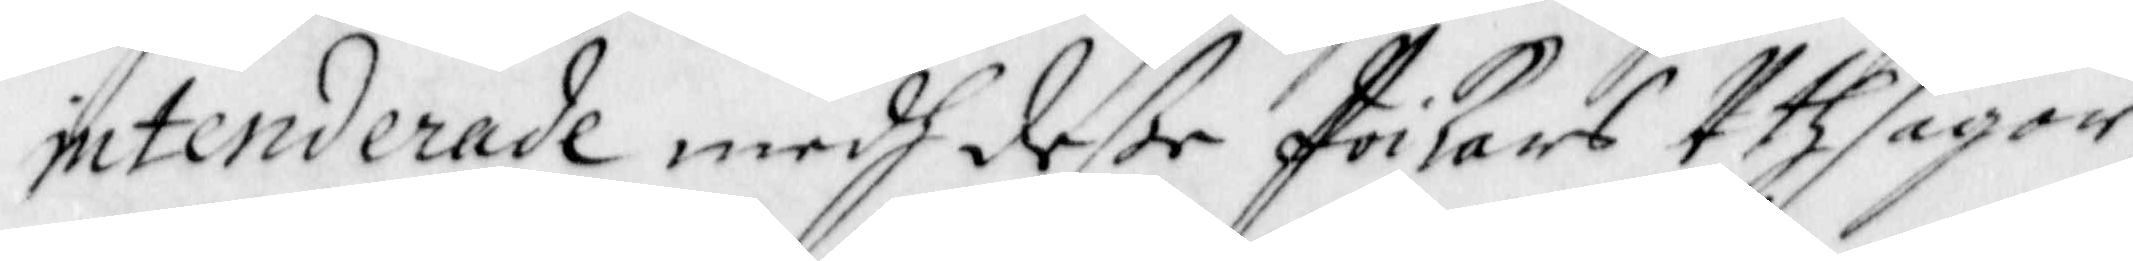intenderade medh deße Poikars Uthsagor,
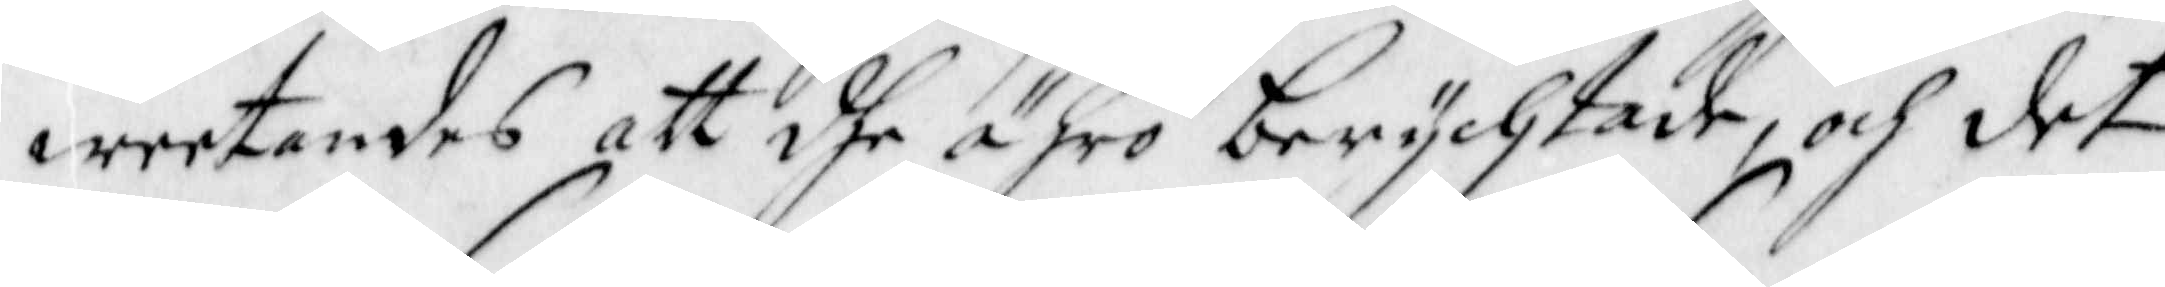weetandes att dhe ähro berychtade, och det
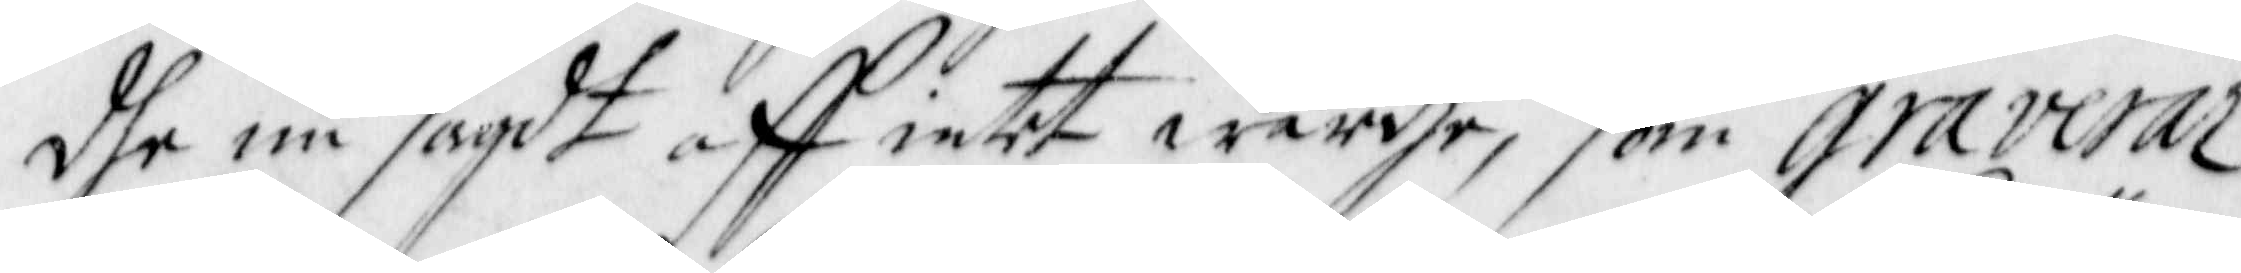dhe nu sagdt aff intet wärdhe, som Graverar
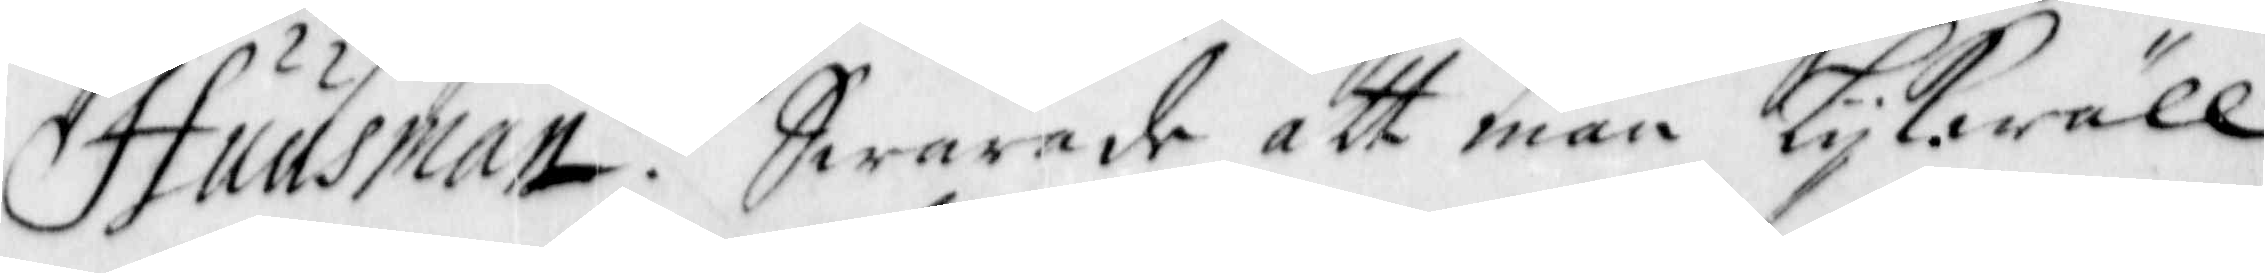Huusman? Swarade att man Lijkawäll
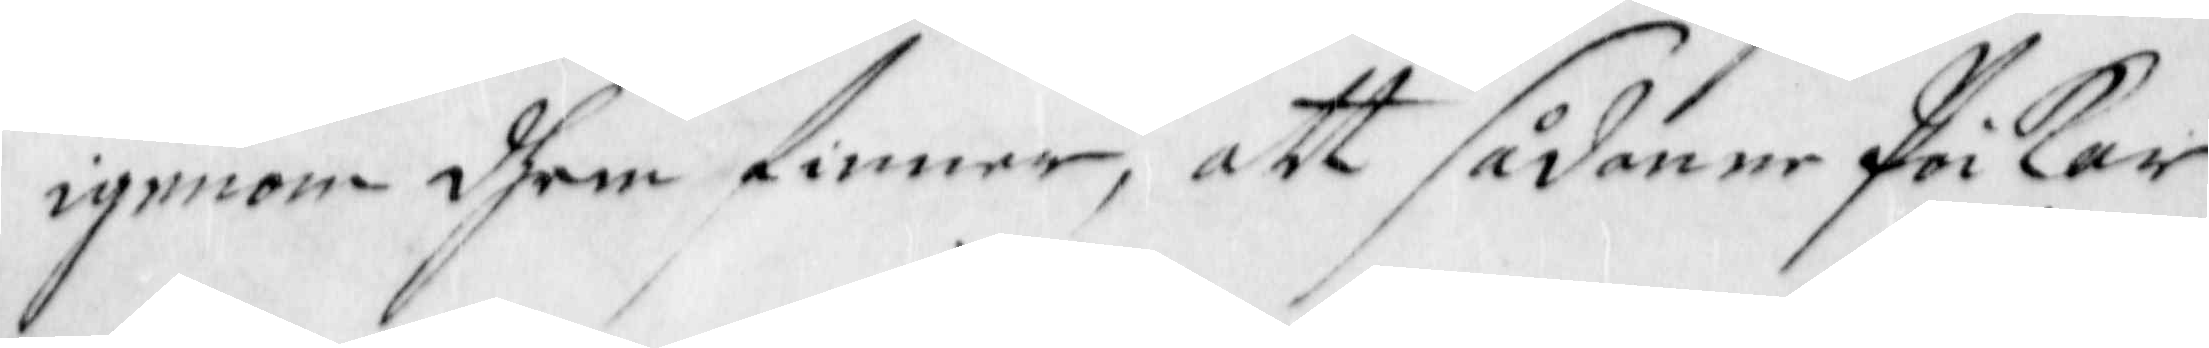igenom dhem finner, att sådanne Poikar
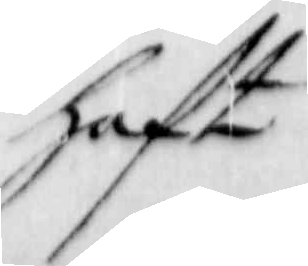haft
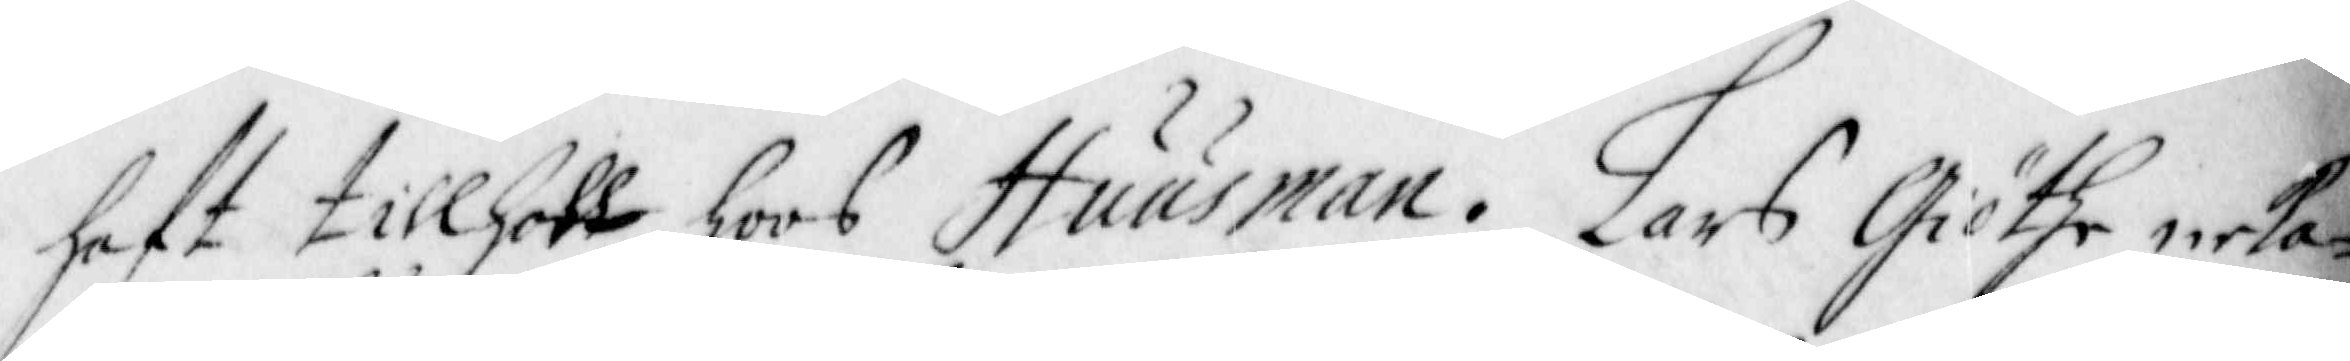haft tillholl hoos Huusman. Lars Giöthe neka¬
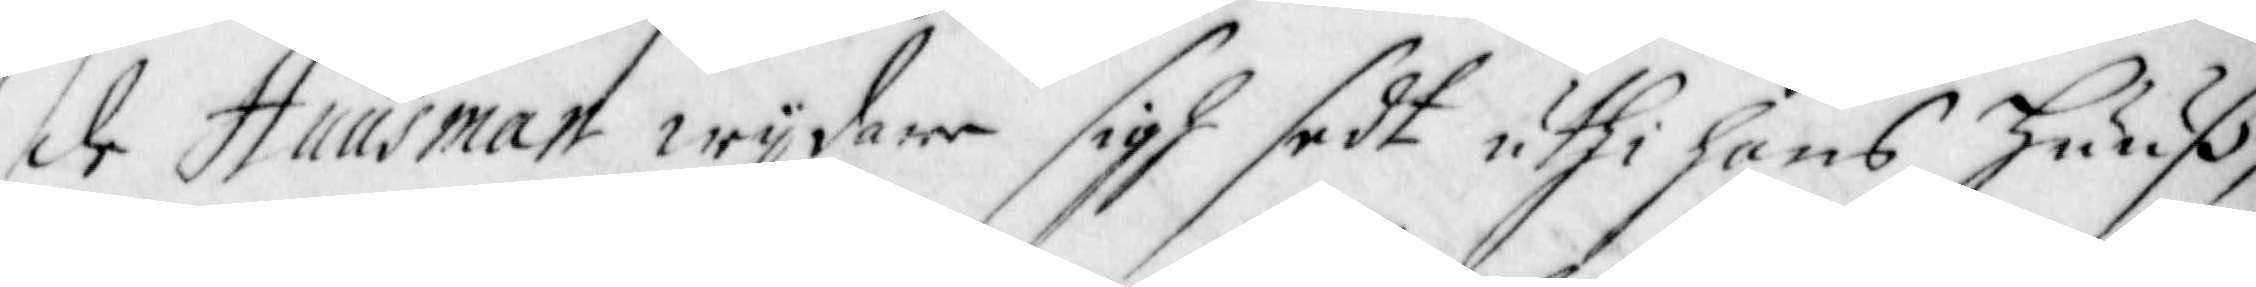de Huusman wijdare sigh sedt uthi hans Huuß,
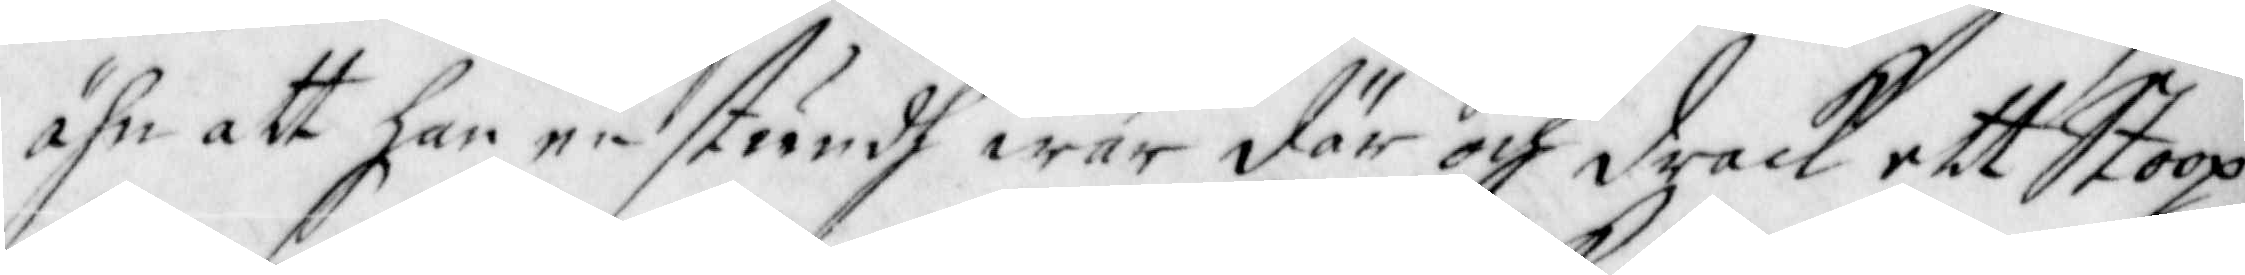ähn att han en stundh war där och drack ett Stoop                                                                                                                                                                 
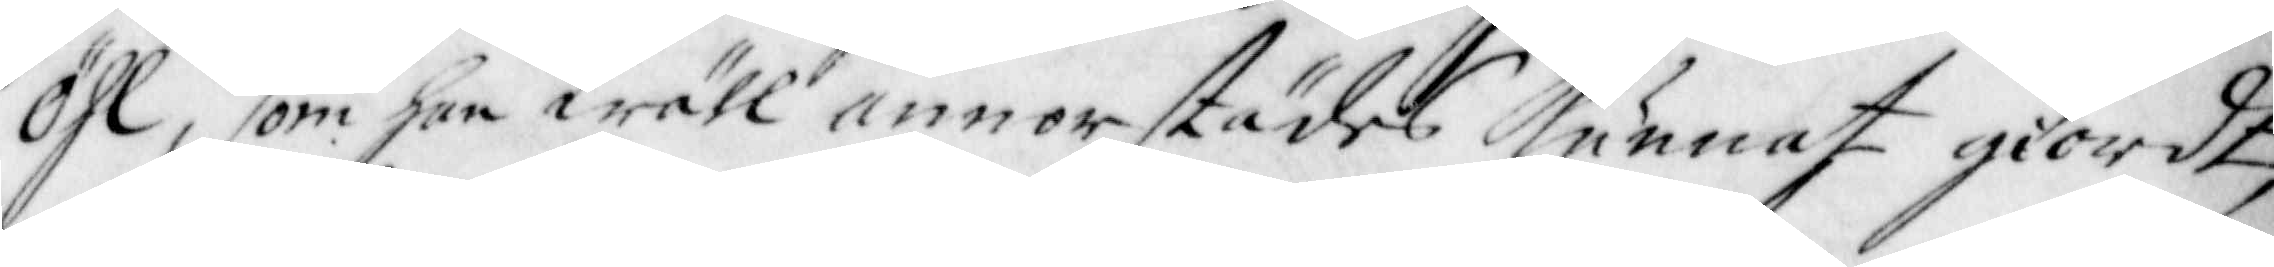Öhl, som han wäll annorstädes Kunnat giordt,
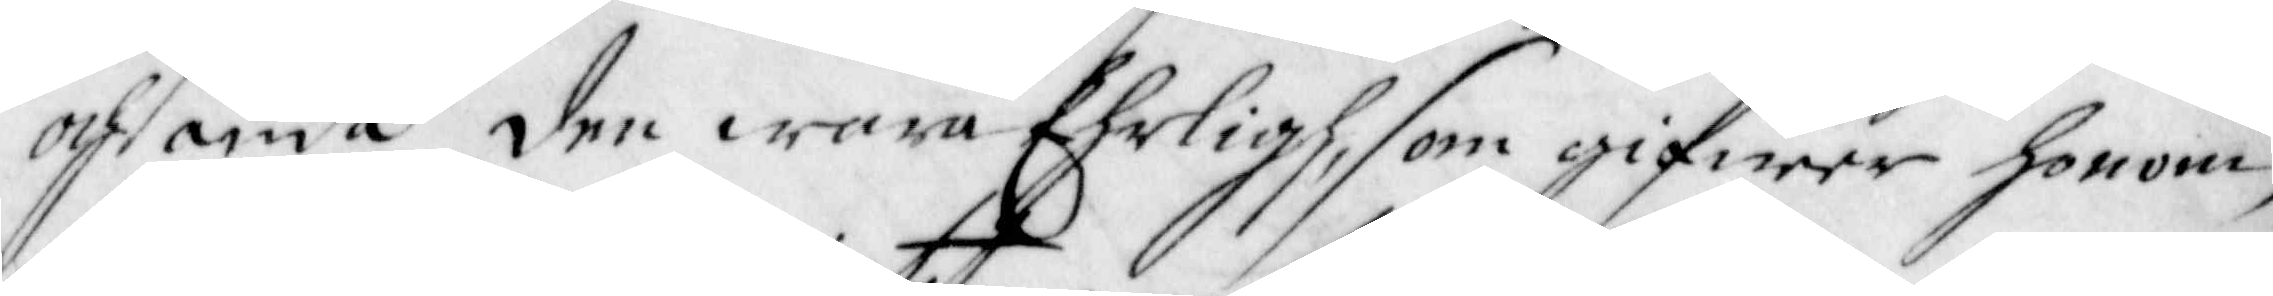och ändå den wara Ehrligh, som gifwer honom,
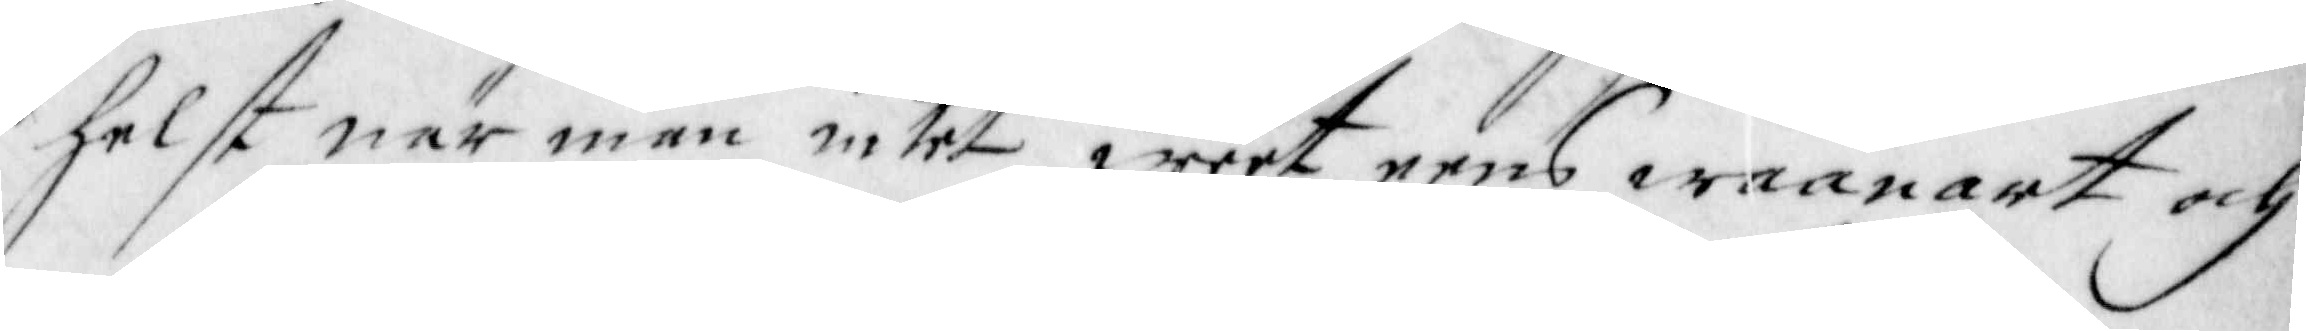helst när man intet weet eens waanart och
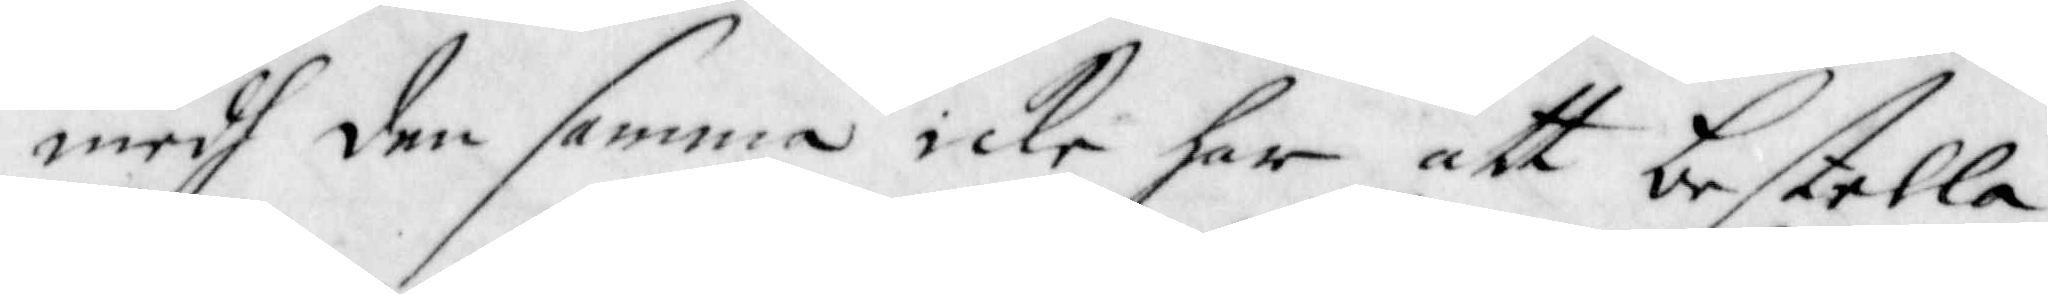medh den samma icke har att bestella.
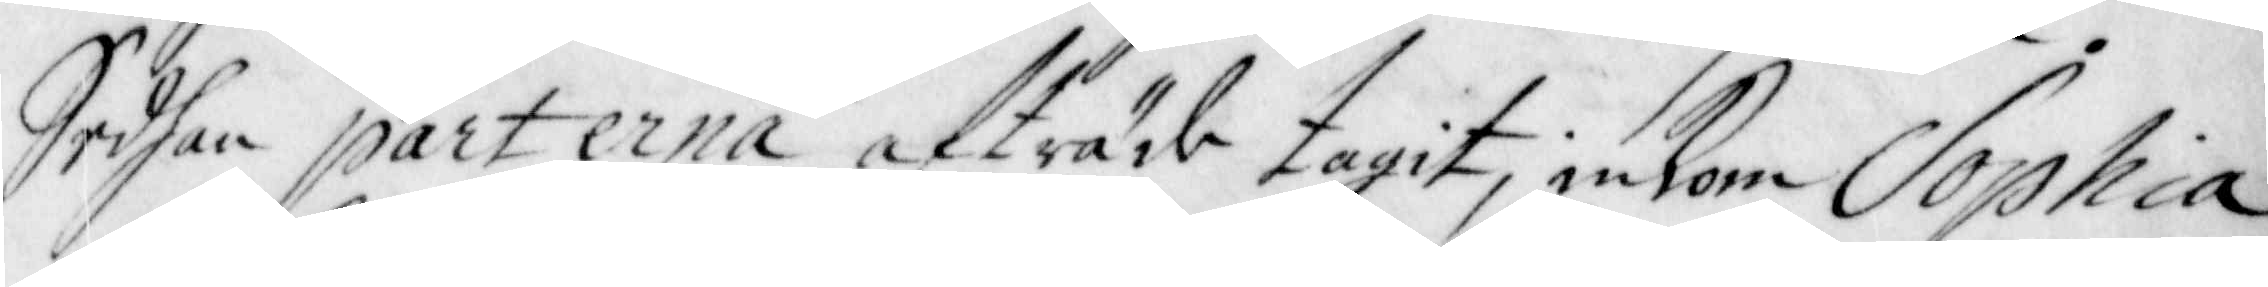Sedhan Parterna afträde tagit, inkom Sophia
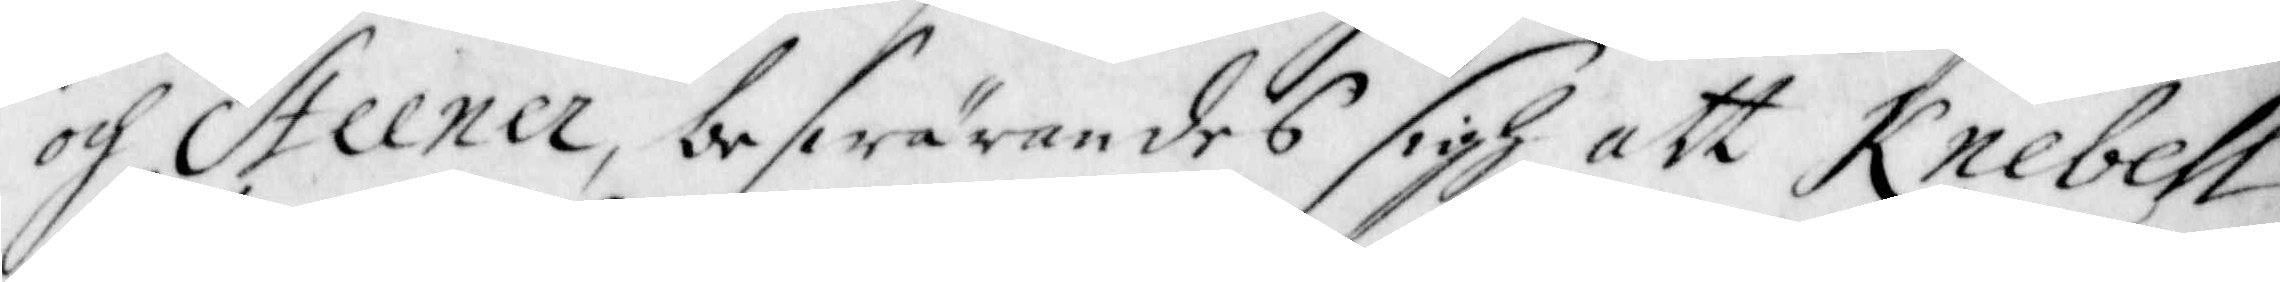och Steener, beswärandes sigh att Knebell
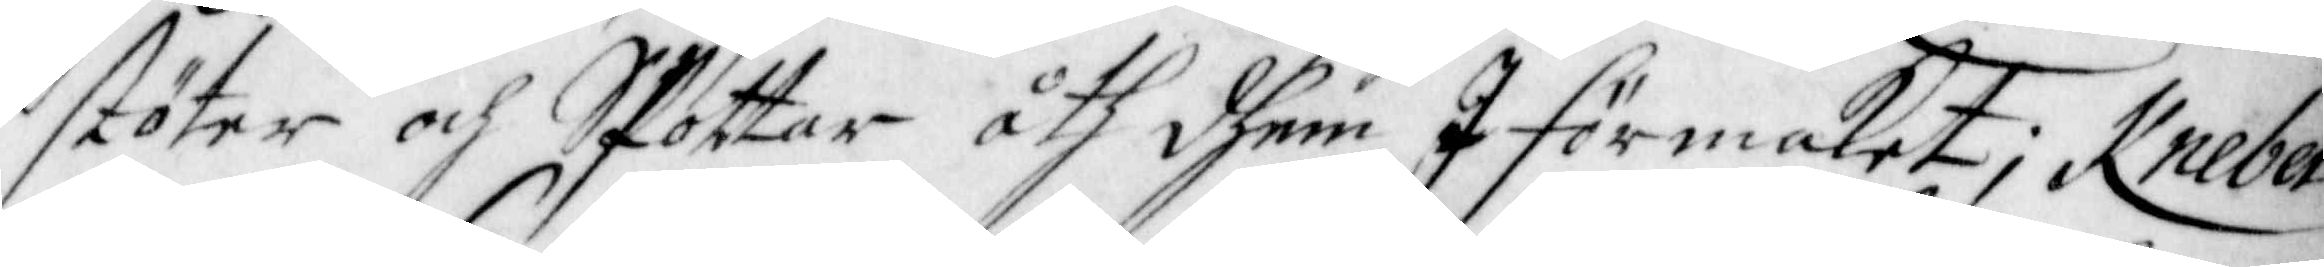stöter och SPottar åth dhem I förmaket; Knebel
